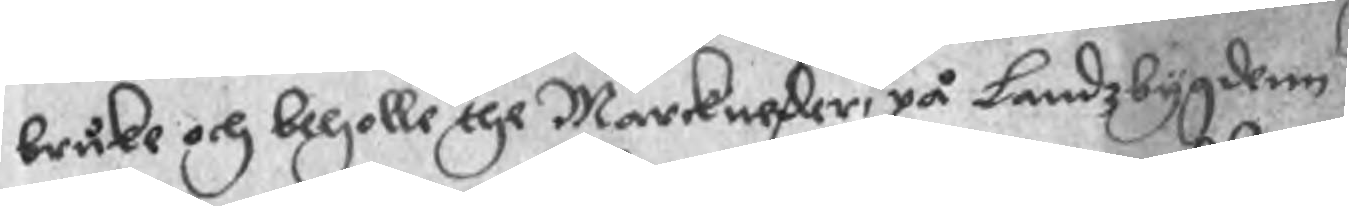bruke och beholle the Markneder, på Landzbygdenn
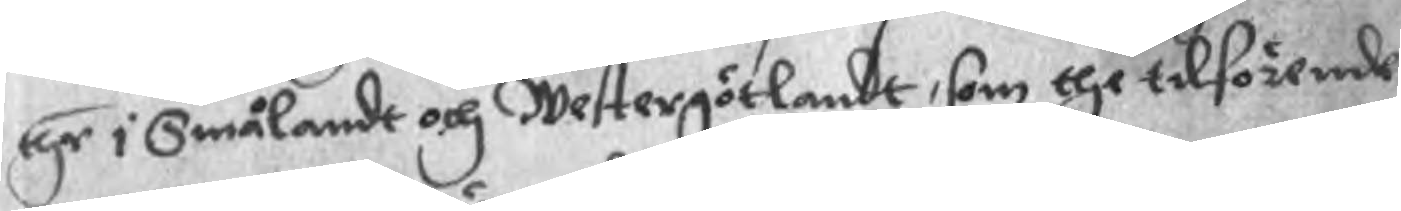thr i Smålandt och Westergötlandt, som the tilförende
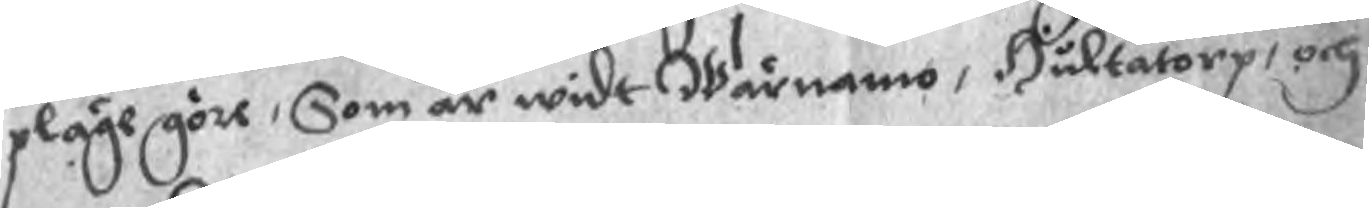pläge göre, Som är widt Wärnamo, Hultatorp, och
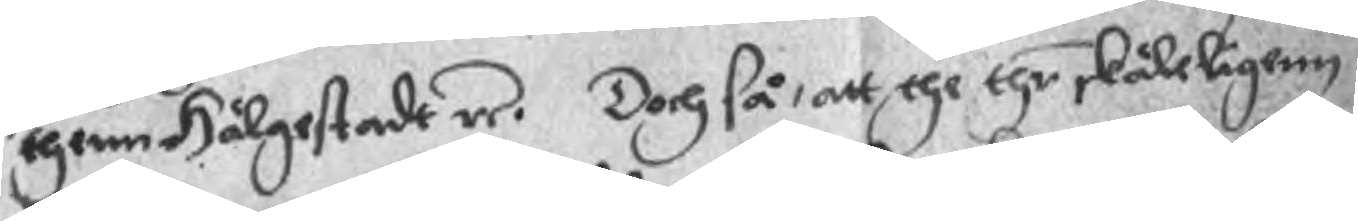thenn Hälgestadt re. Dch så, att the thr skäleligen
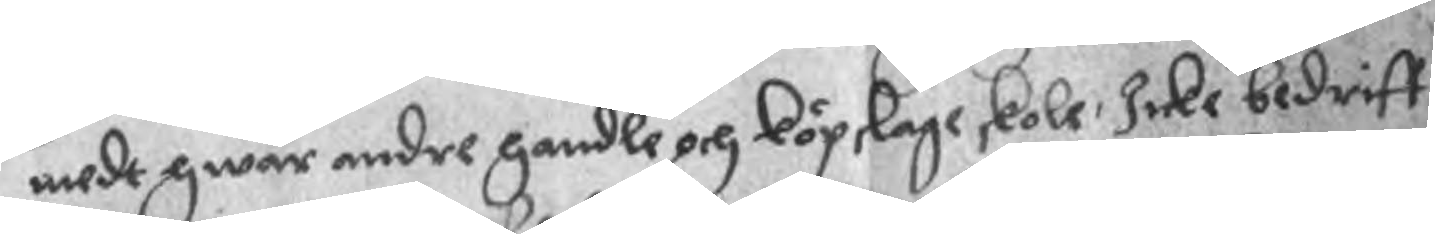medt hwar andre handle och köpslage skole, Icke bedriff¬
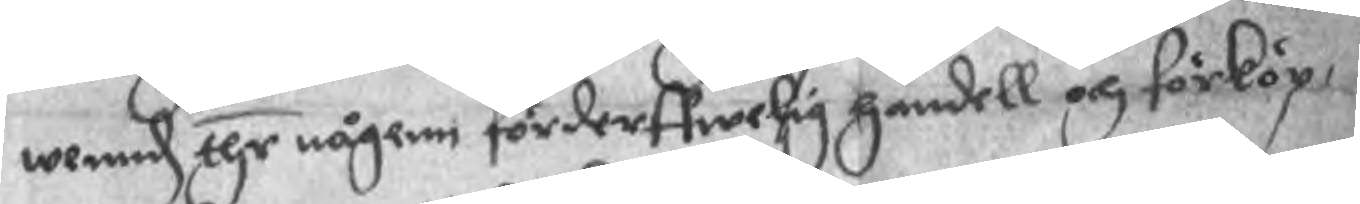wennd thr någenn förderffwelig handell och förköp,
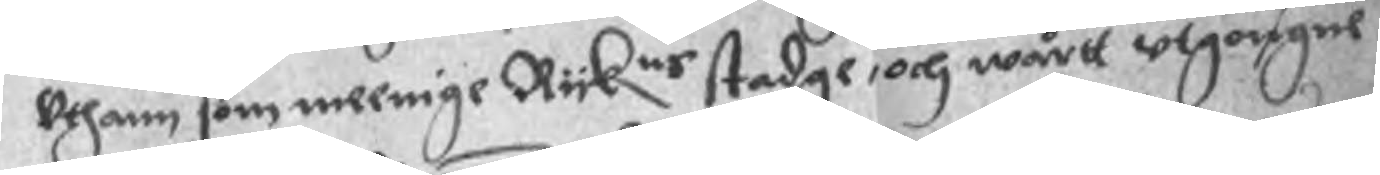Uthann som meenige Ryknr stadge, och wårtt utgongne
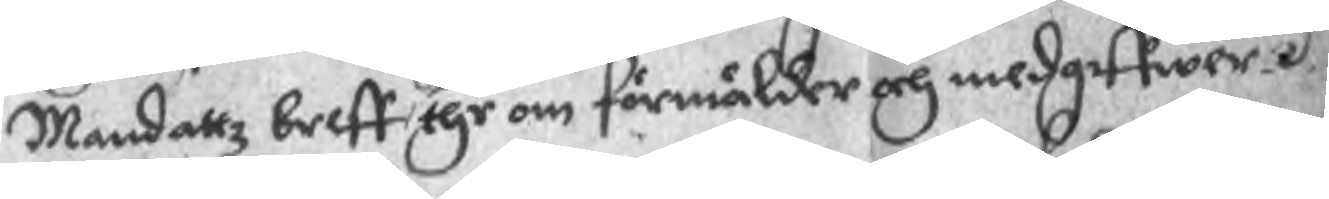Mandattz breff, thr om förmälder och medgiffwer.
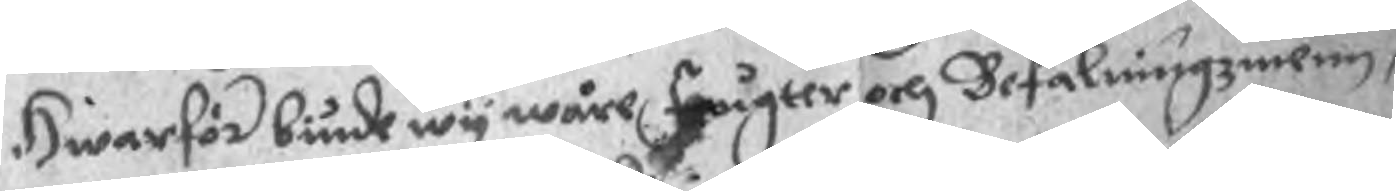Hwarför biude wy wåre fougter och Befalningzmen,
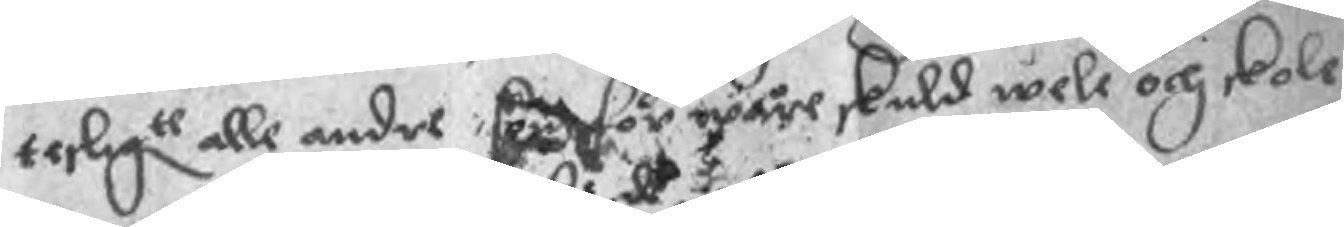tesligte alle andre, som för wåre skuld wele och skole
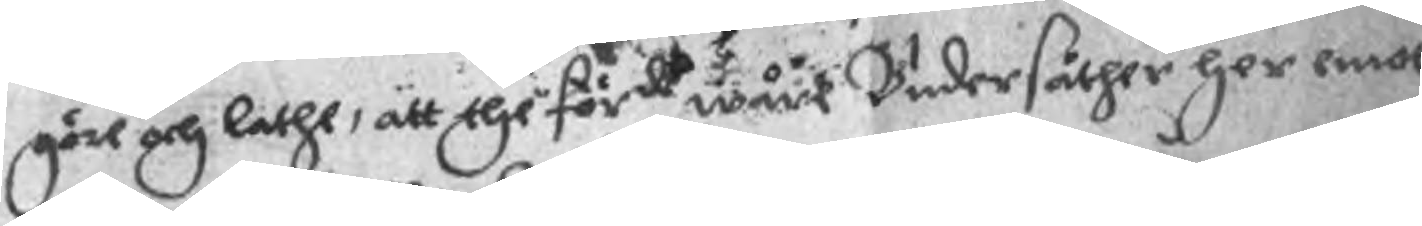göre och lathe, att the förde wårt Undersåther her emot
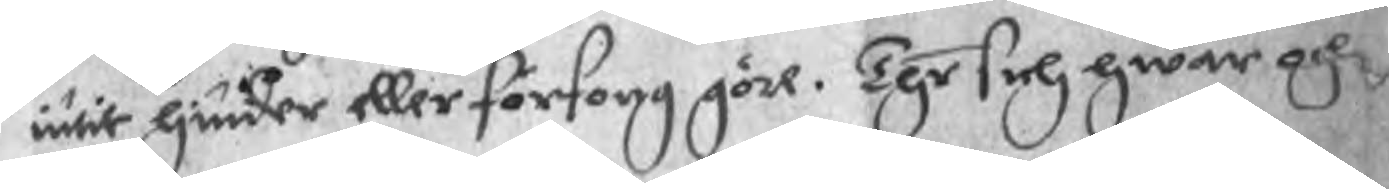intit hinder eller försorg göre. Thr sich hwar och
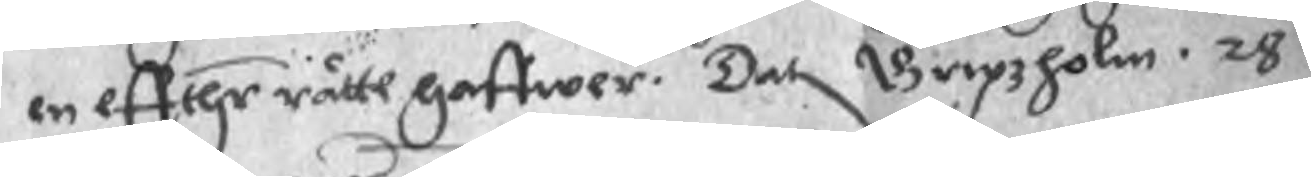en effthr rätte haffwer. Dat Gripzholm. 28
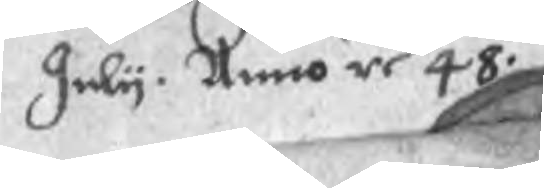July. Anno re 48.
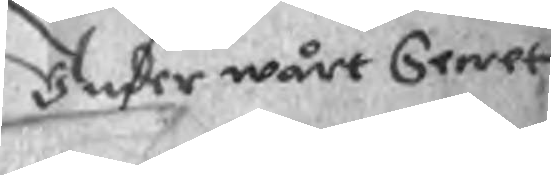Under wårt Secret
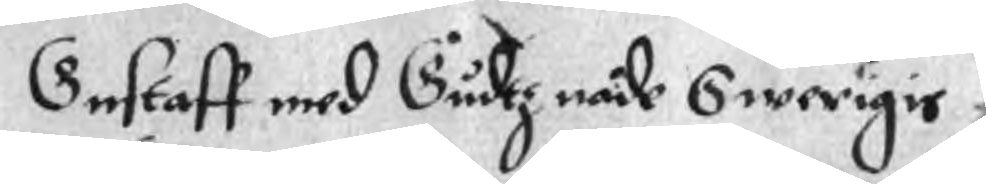Gustaff med Gudtz nåde Swerigis
